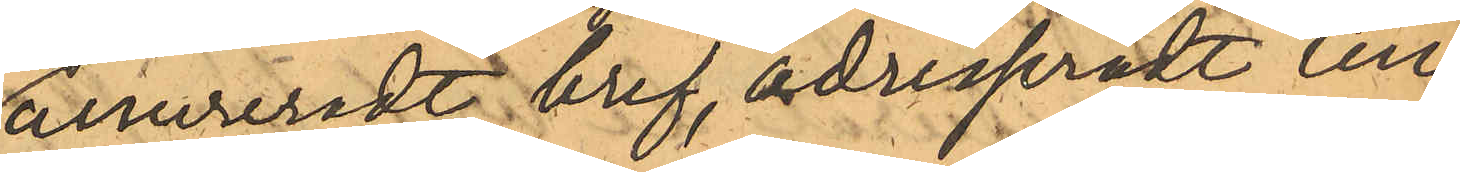assureradt bref, adressradt till
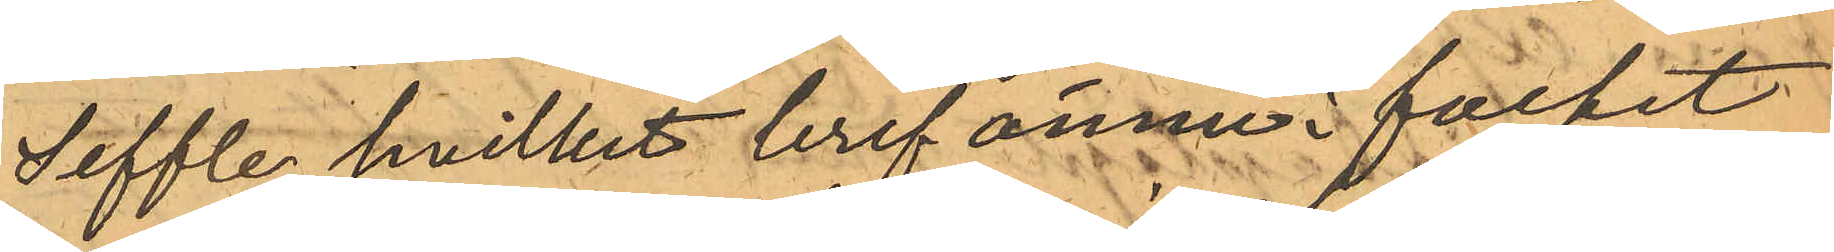Seffle, hvilket bref ännu i facket
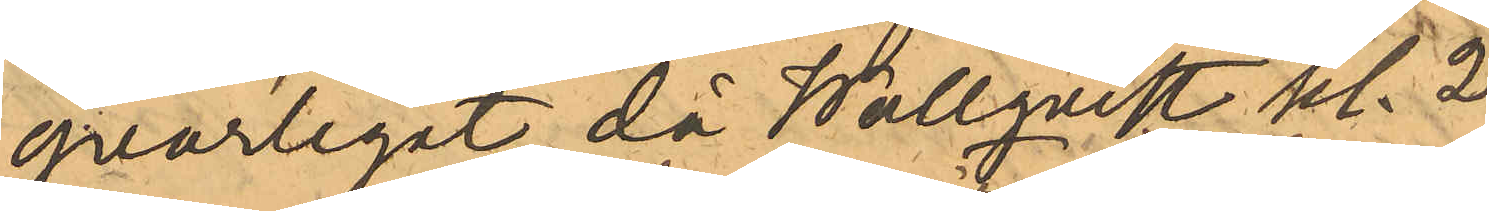qvarlegat, då Wallqvist kl. 2
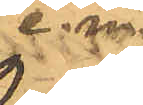e. m.
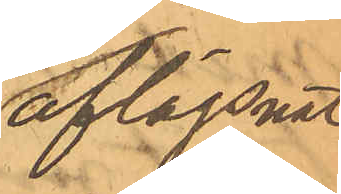aflägsnat
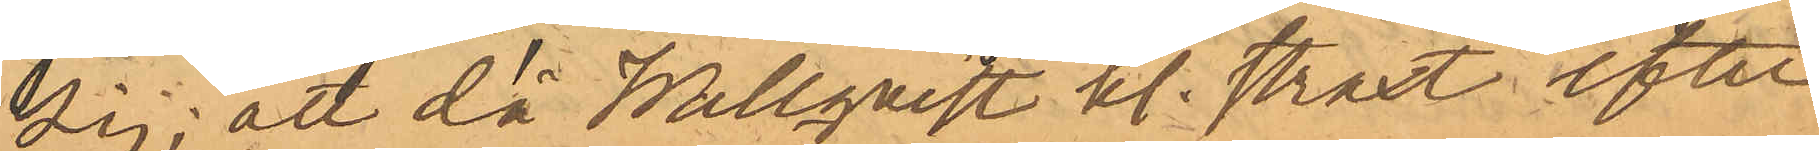sig; att då Wallqvist kl. straxt efter
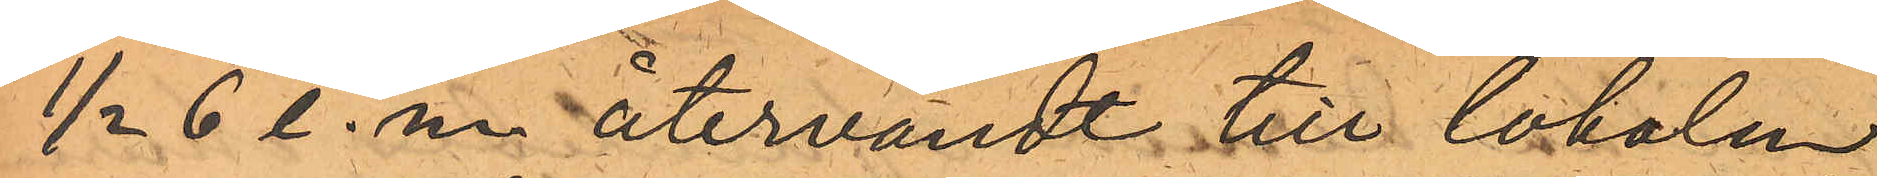1/2 6 e. m. återvändt till lokalen
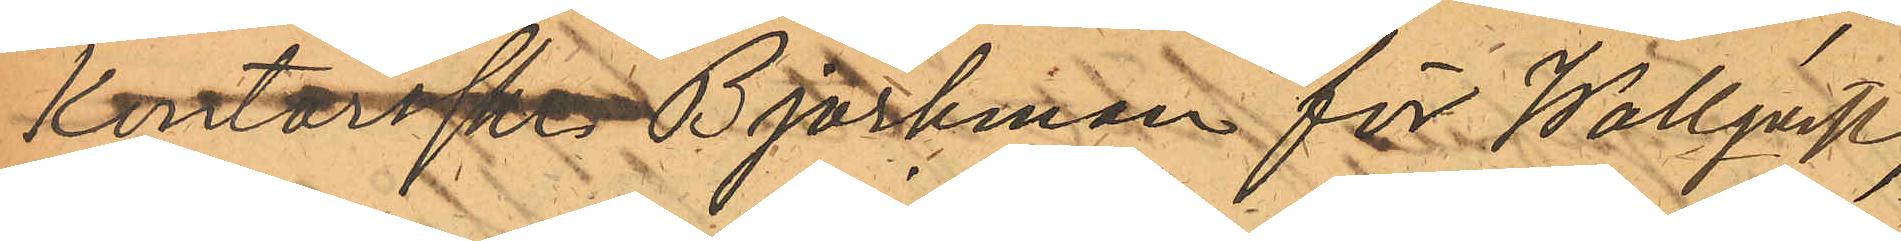Kontorskr Björkman för Wallqvist,
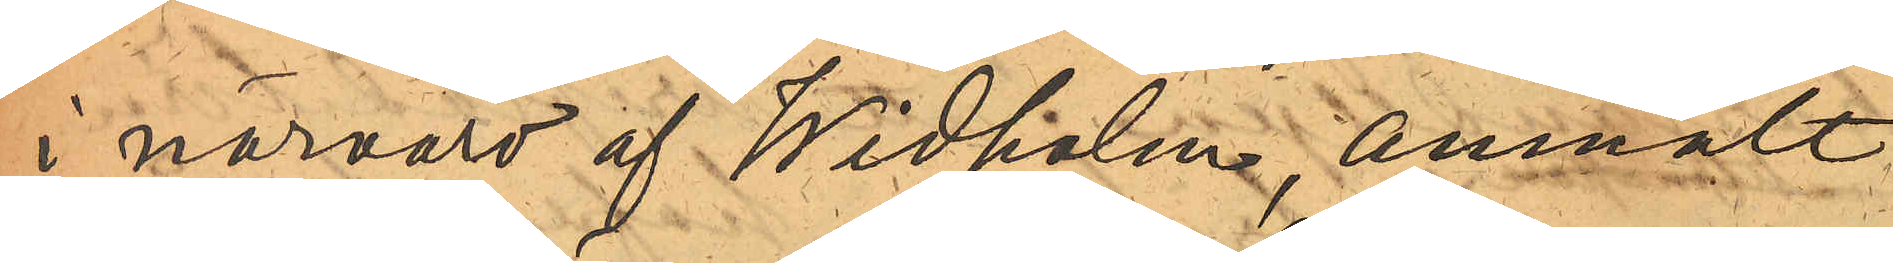i närvaro af Widholm, anmält
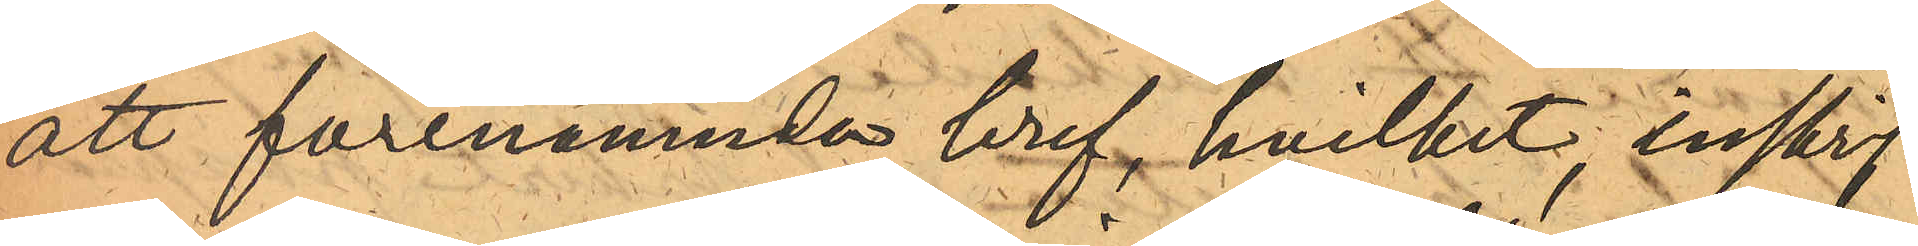att förenämnda bref, hvilket, inskrif¬
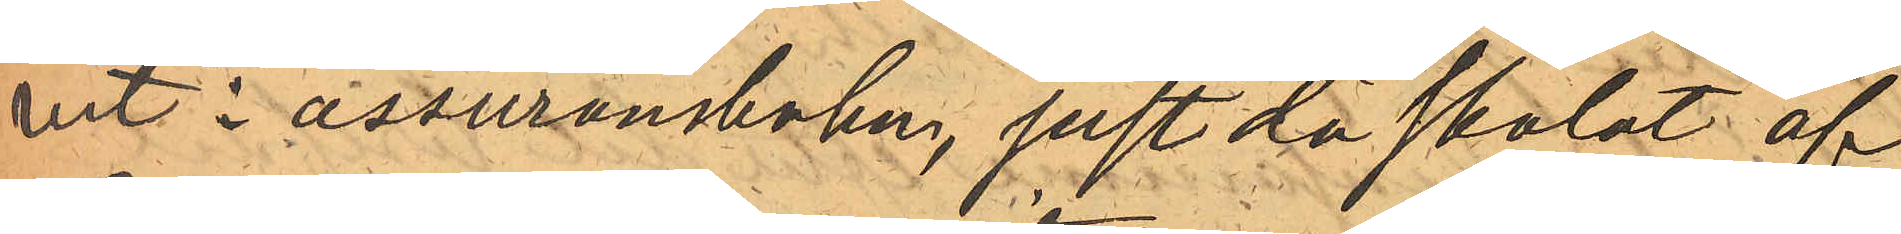vet i assuransboken, just då skolat af
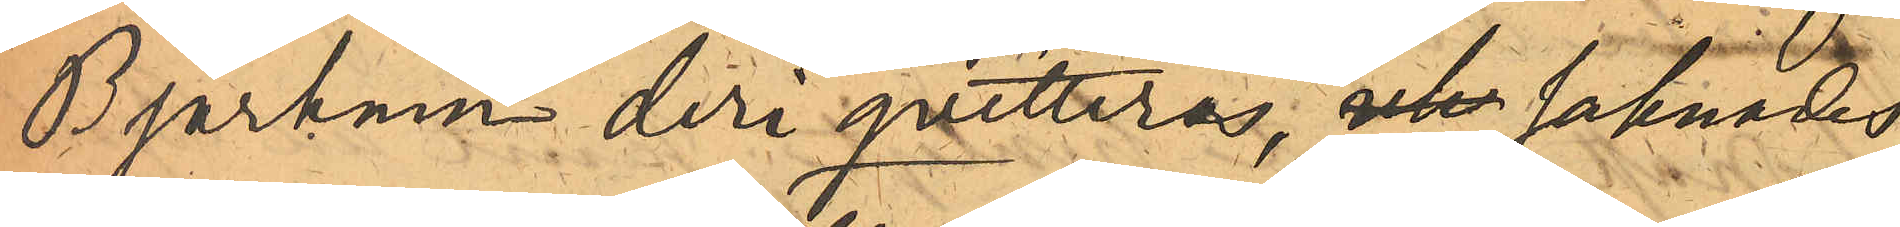Björkman deri qvitteras, uta saknades,
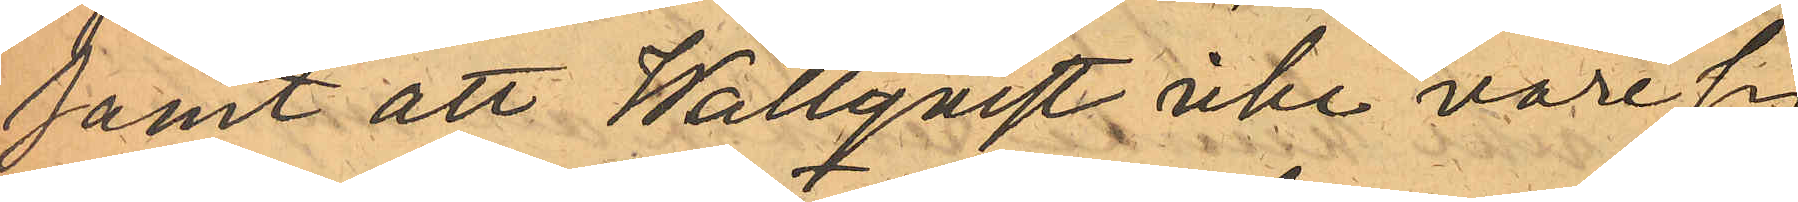samt att Wallqvist icke vare sig
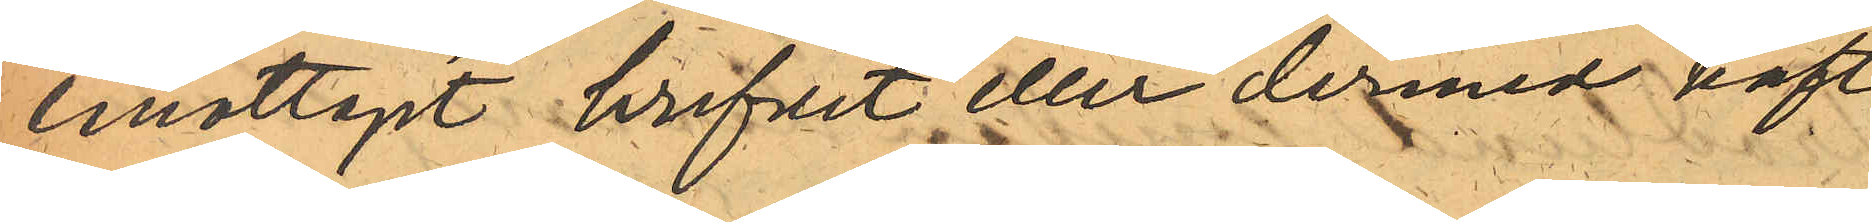emottagit brefvet eller dermed haft
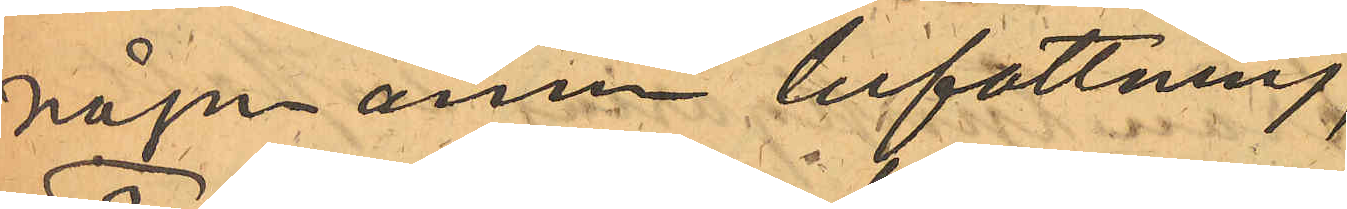någon annan befattning;
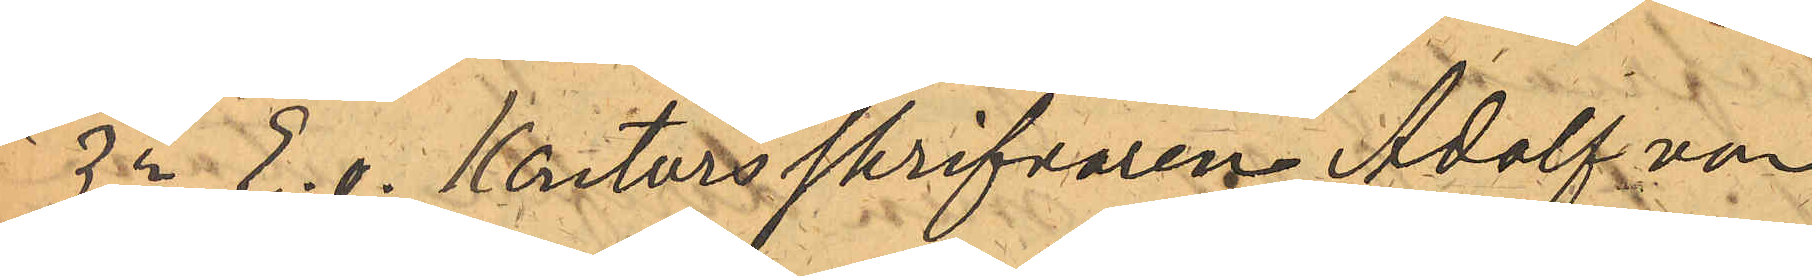3o E.o. Kontorsskrifvaren Adolf von
